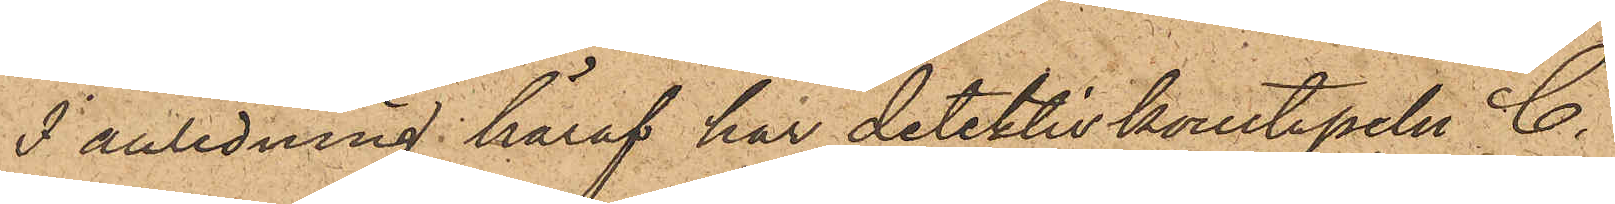I anledning häraf har detektivkonstapeln C.
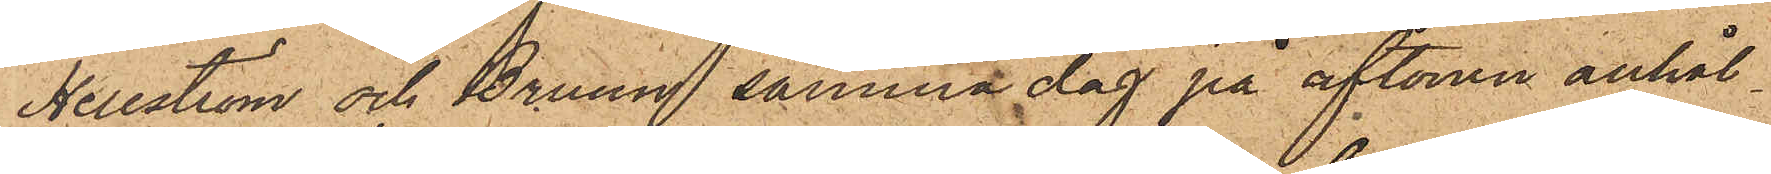Hellström och Bruun samma dag på aftonen anhål¬
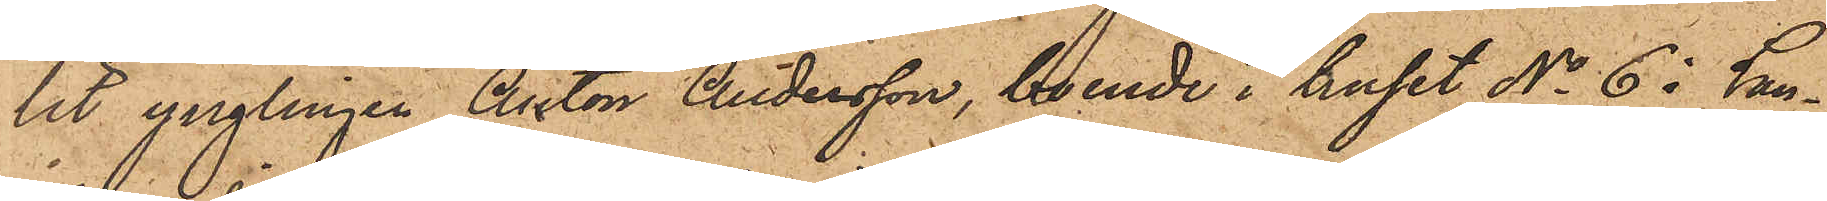lit ynglingen Anton Andersson, boende i huset No 6 i Lan¬
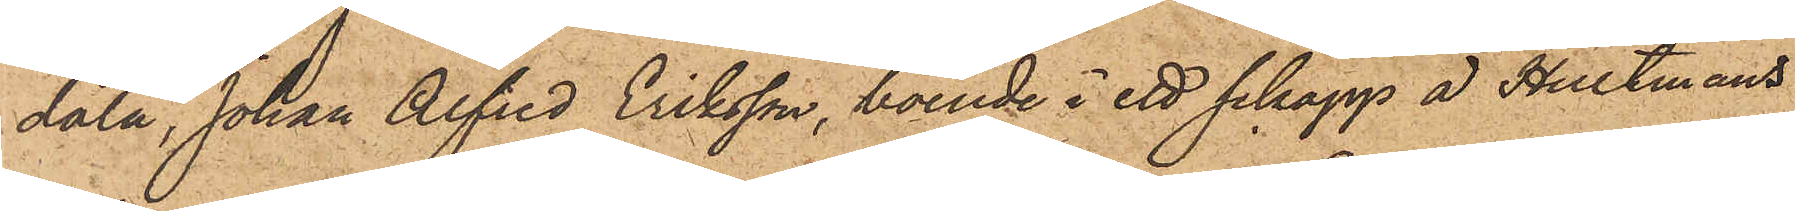dala, Johan Alfred Eriksson, boende i ett schapp å Hultmans
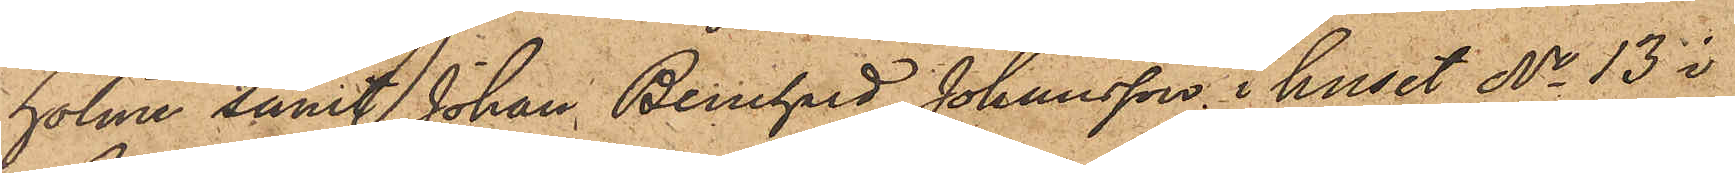holme samt Johan Bernhard Johansson i huset No 13 i
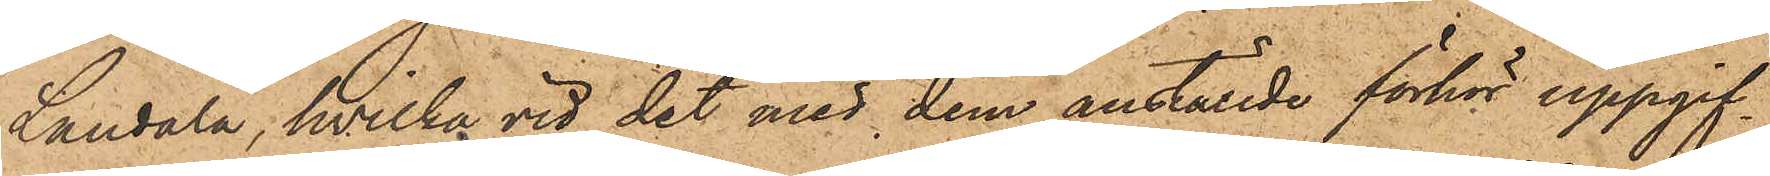Landala, hvilka vid det med dem anställde förhör uppgif¬
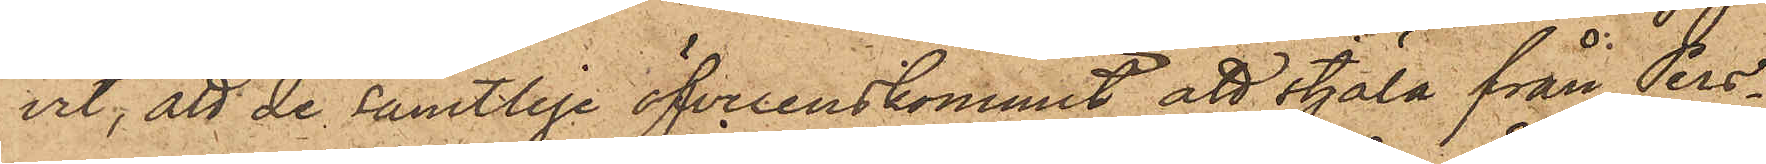vit, att de samtlige öfverenskommit att stjäla från Pers¬
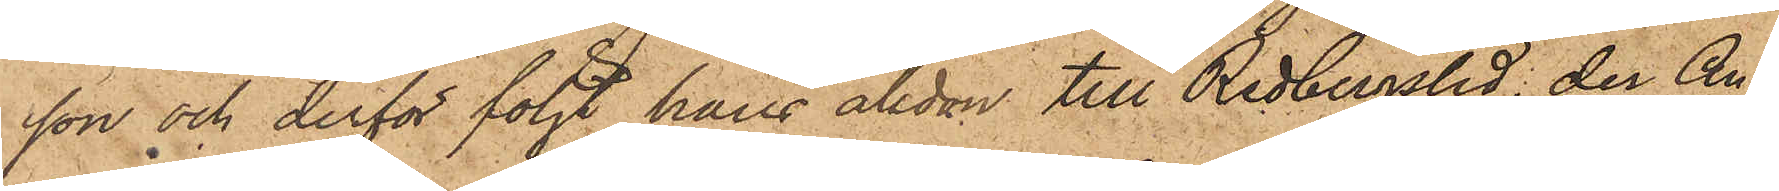son och derför följt hans åkdon till Redbergslid, der An¬
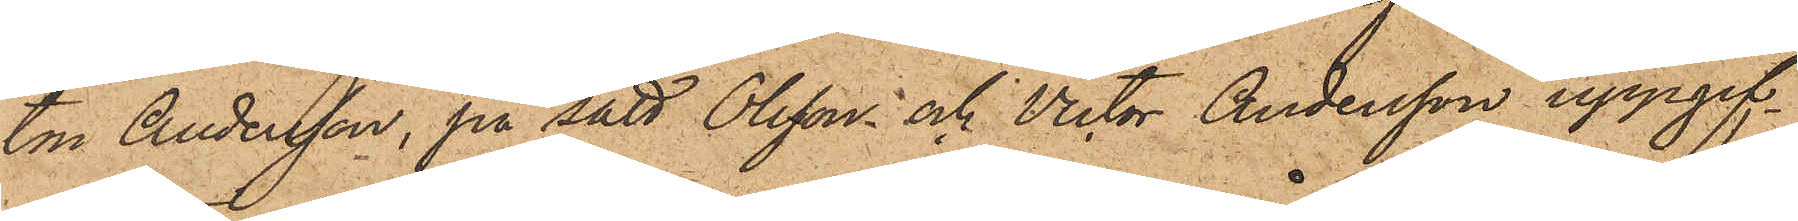ton Andersson, på sätt Olsson och Victor Andersson uppgif¬
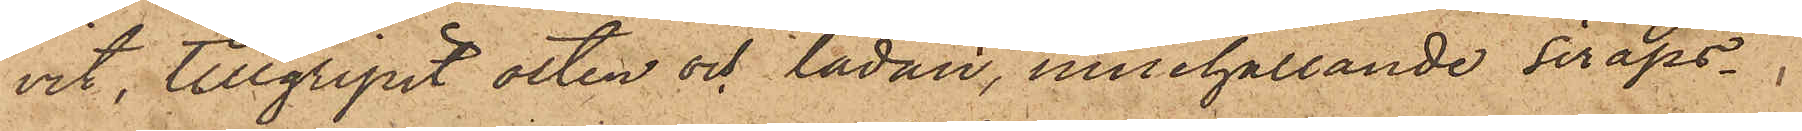vit, tillgripit osten och lådan, innehållande siraps¬
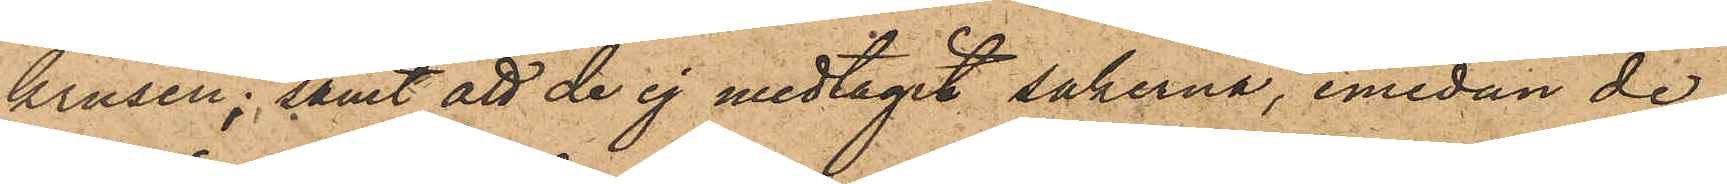krusen; samt att de ej medtagit sakerna, emedan de
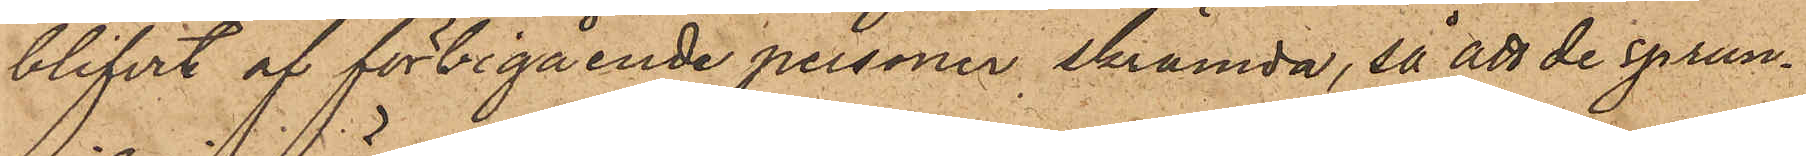blifvit af förbigående personer skrämda, så att de sprun¬
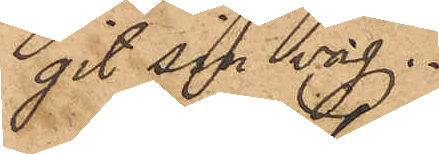git sin sig.
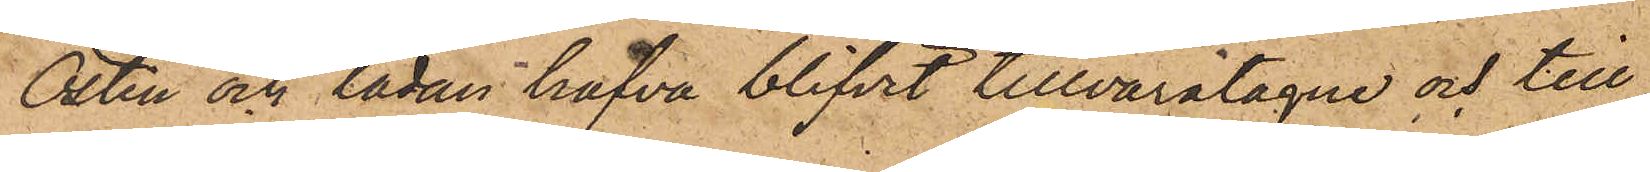Osten och lådan hafva blifvit tillvaratagne och till
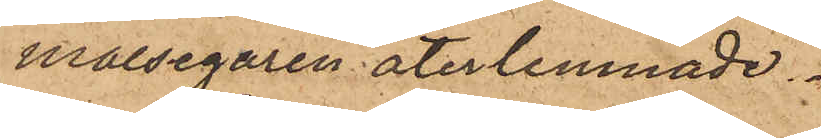målsegaren återlemnade.
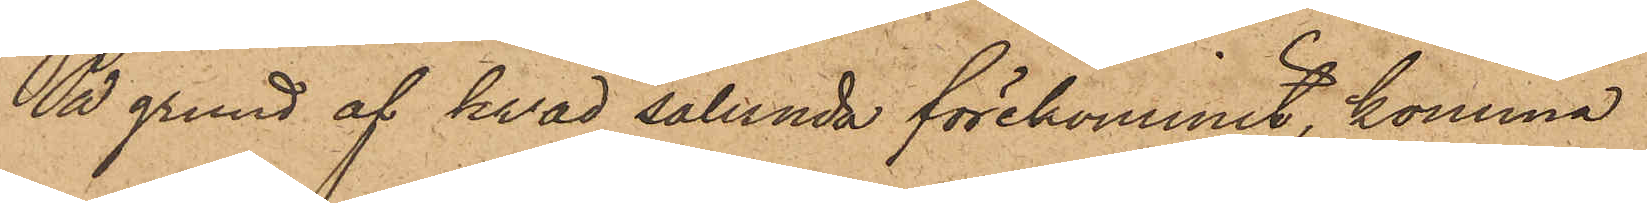På grund af hvad sålunda förekommit, komma
